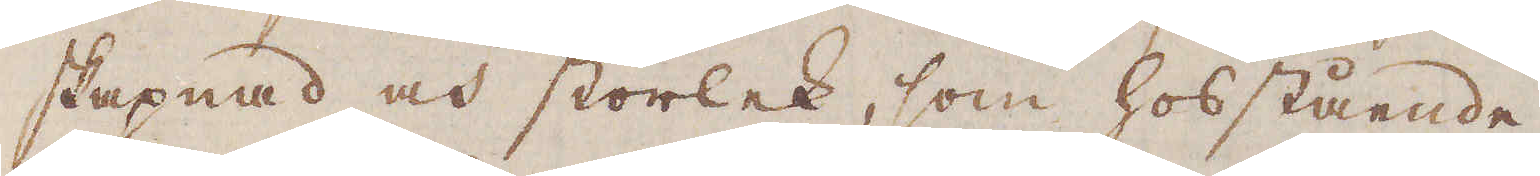skapnad och storlek, som hosstående
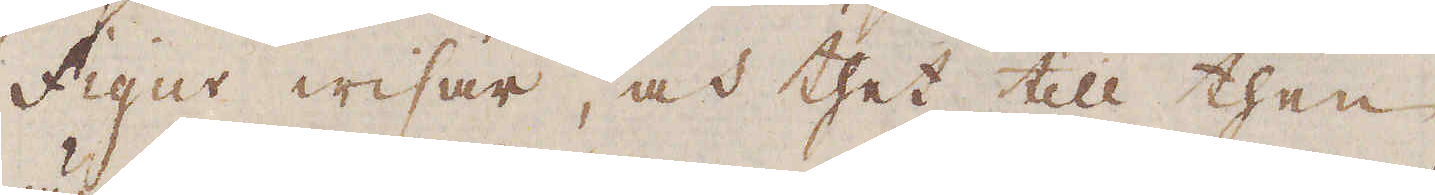Figur wisar, och thet till then
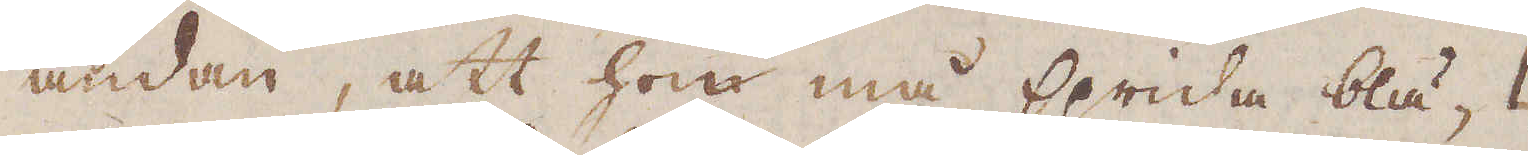ändan, att hon må sprida blä-
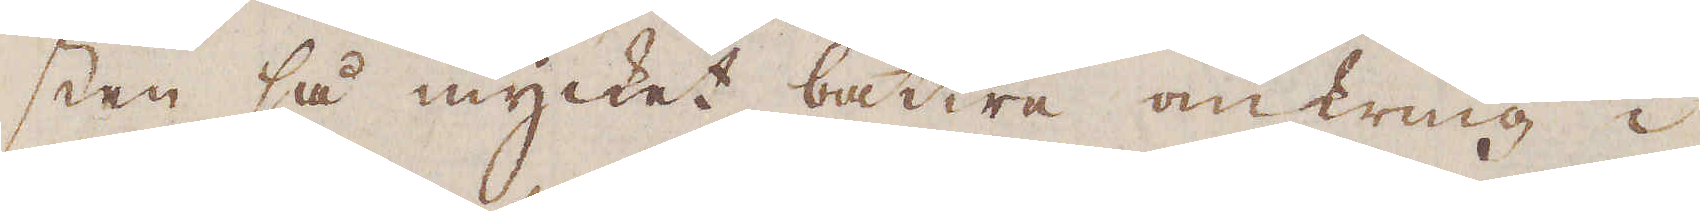sten så mycket bättre omkring i
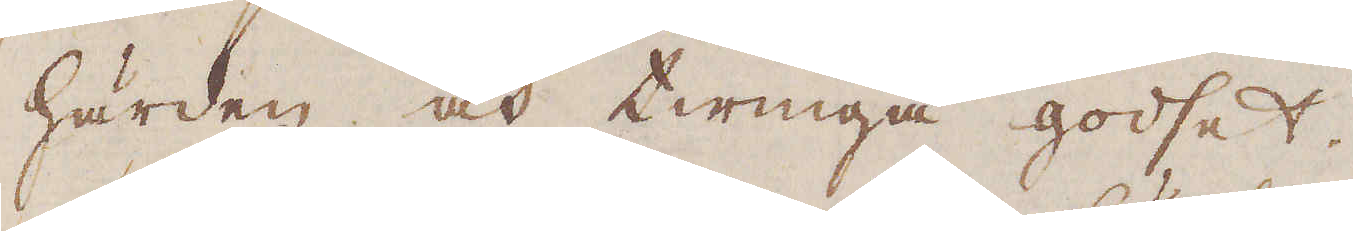härden och twinga godset.
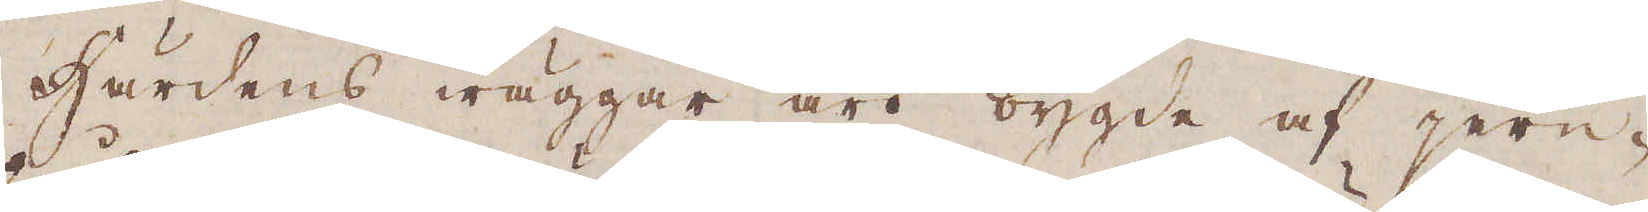Härdens wäggar äro bygde af jern-
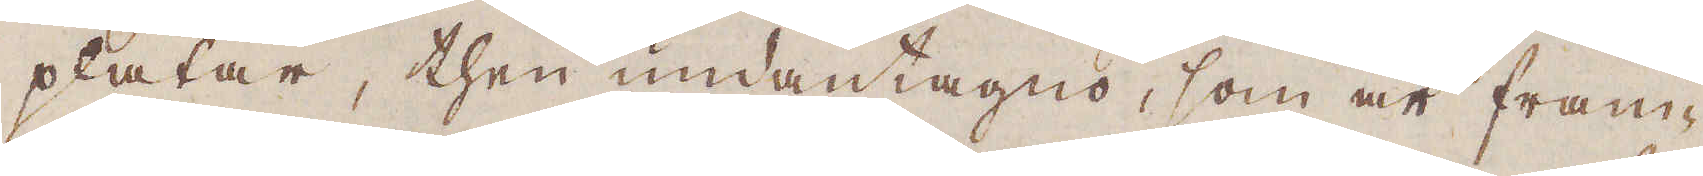plåtar, then undantagno, som är fram-
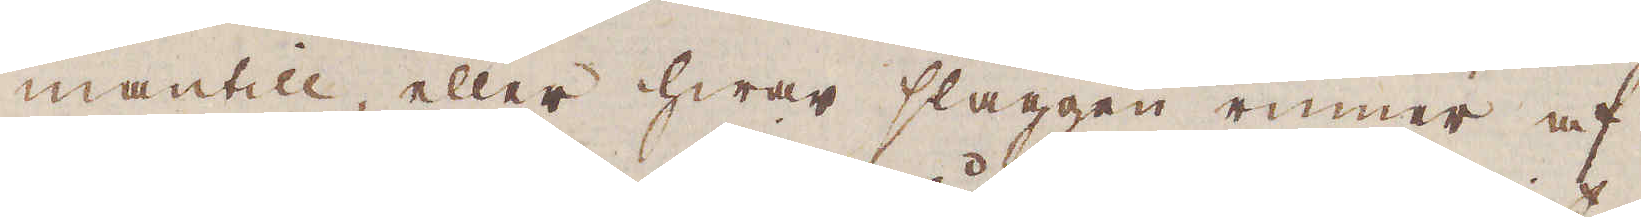mantill, eller hwar slaggen rinner af.
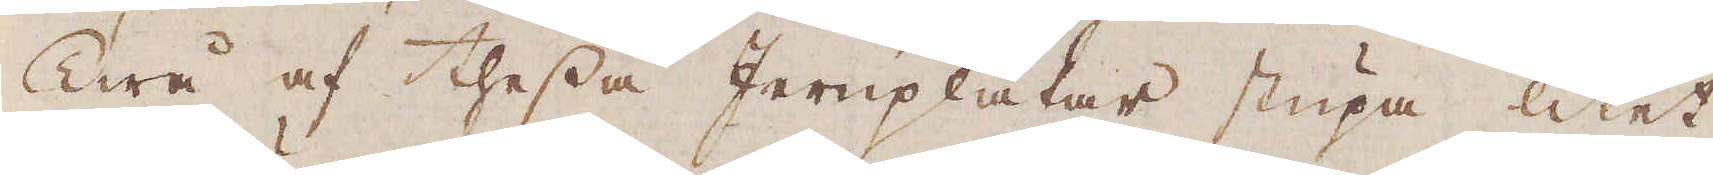Twå af thessa Jernplåtar stupa litet
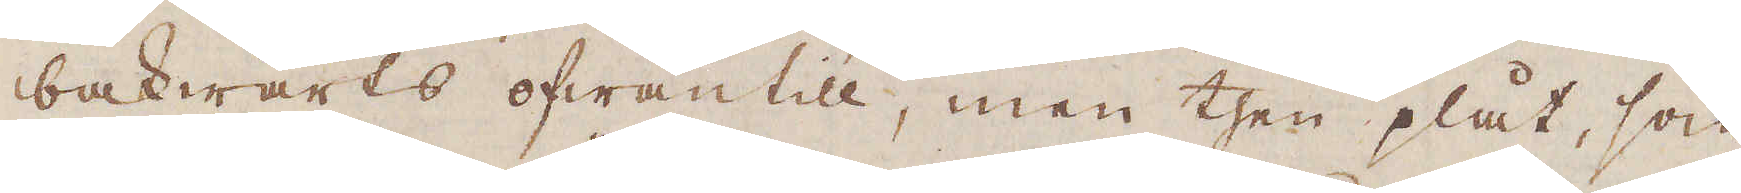bakwärts ofwantill, men then plåt, som
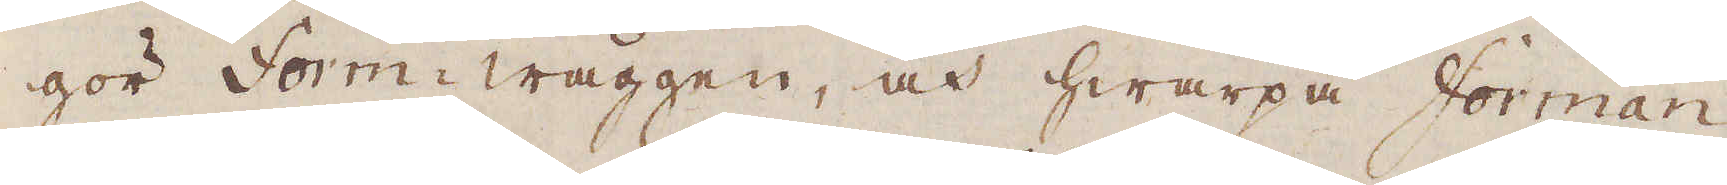gör Form-wäggen, och hwarpå Forman
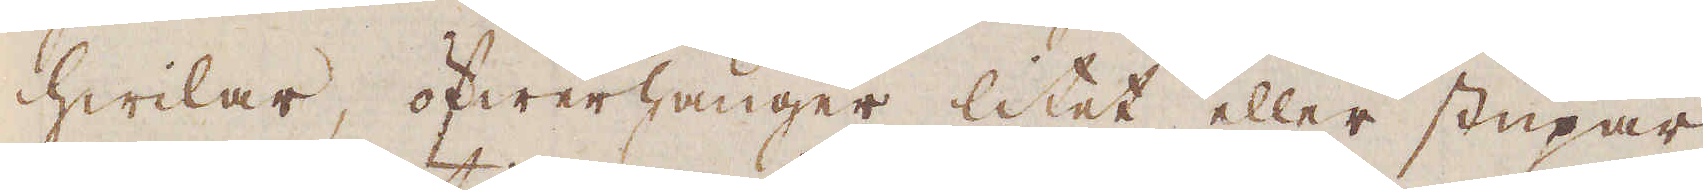hwillar, öfwerhänger litet eller stupar
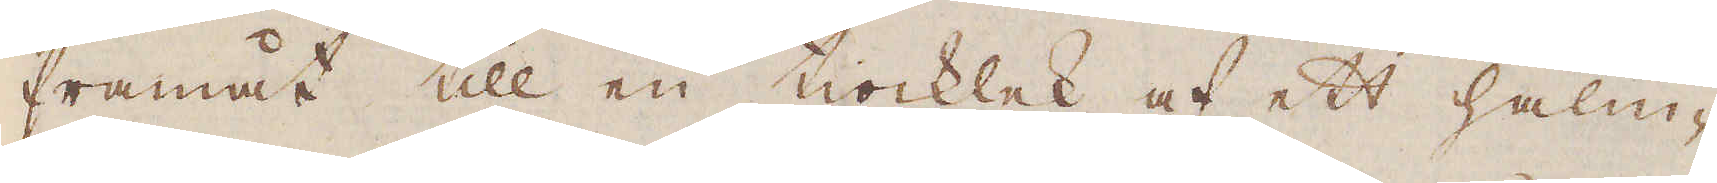framåt till en tiocklek af ett halm-
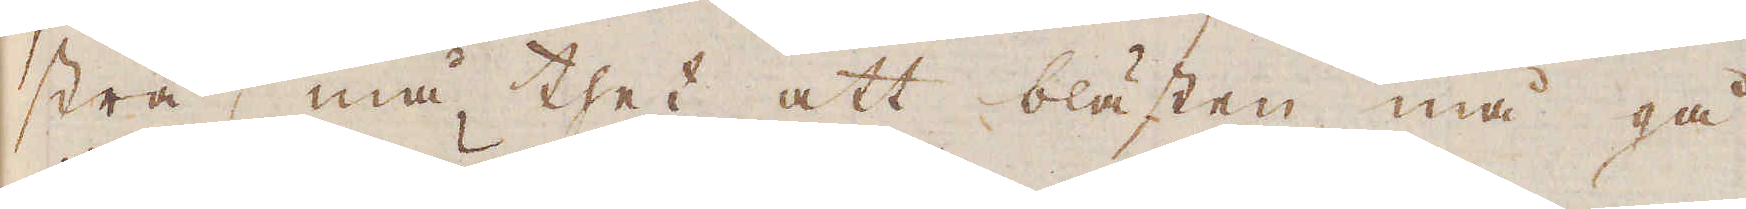strå, må thet att blästen må gå
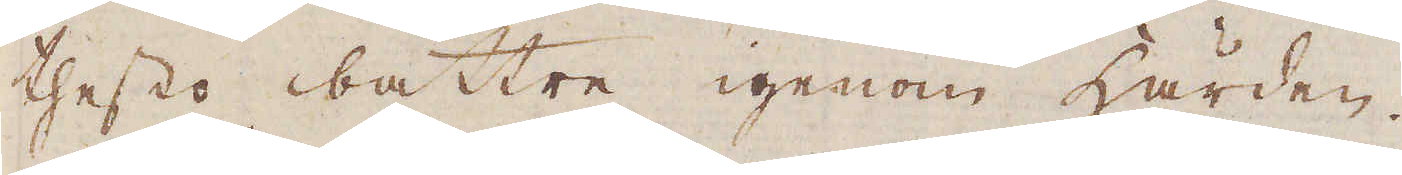thesto bättre igenom härden.
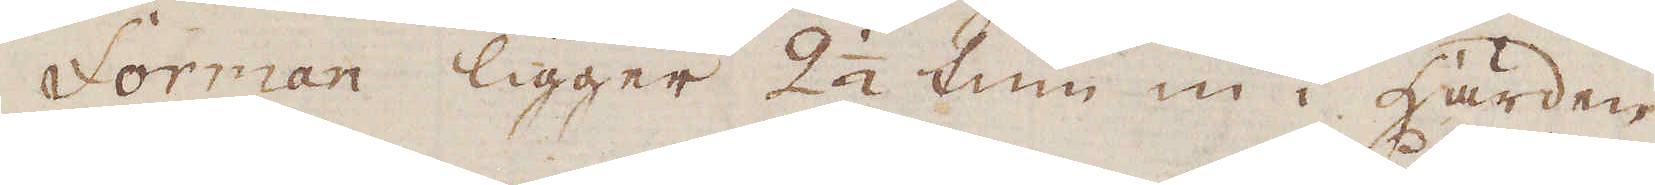Forman ligger 2 1/2 tum in i härden.
